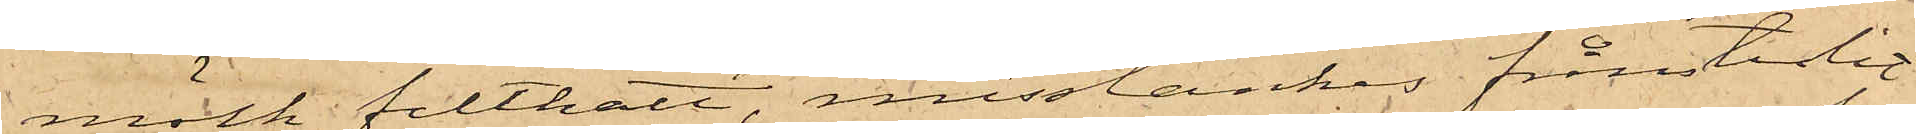mörk filthatt, misstänkes frånstulit
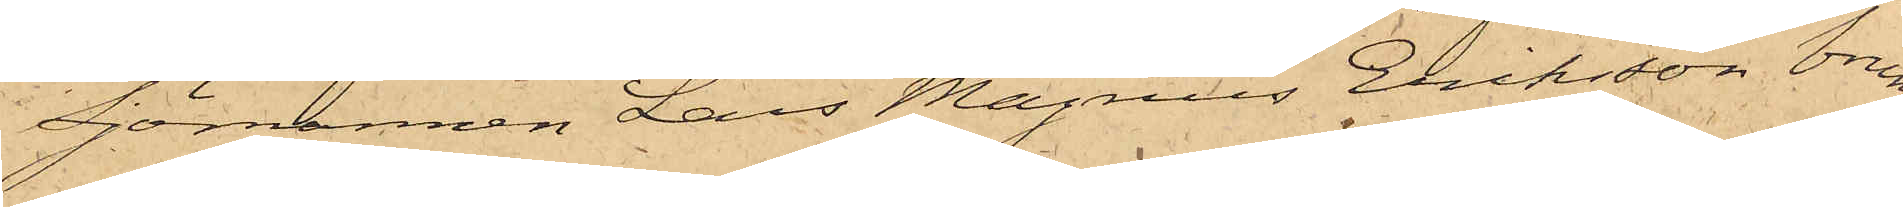Sjömannen Lars Magnus Eriksson brun
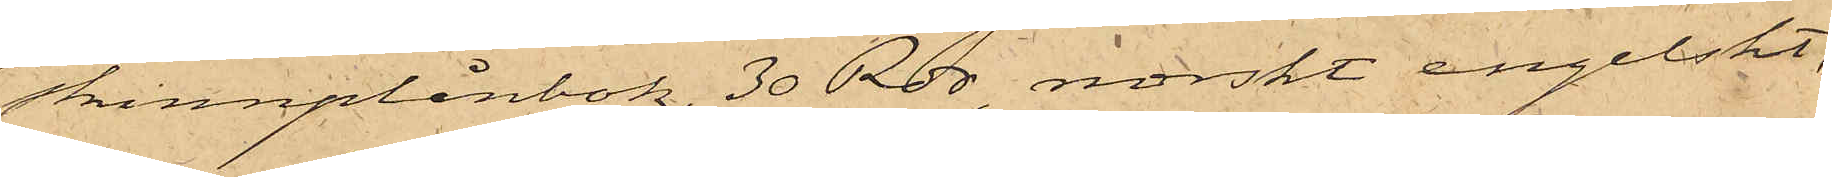skinnplånbok, 30 Rdr, norskt engelskt,
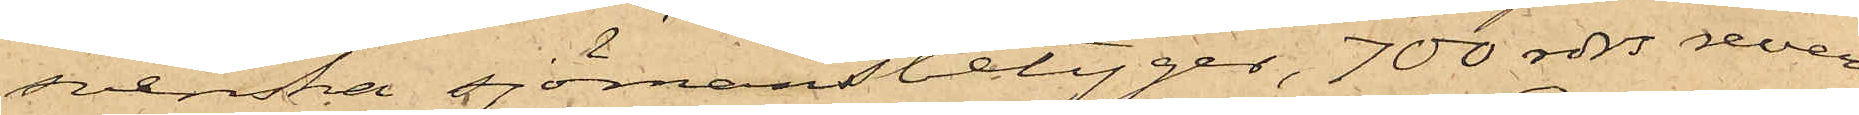svenska sjömansbetyger, 700 rdrs revers.
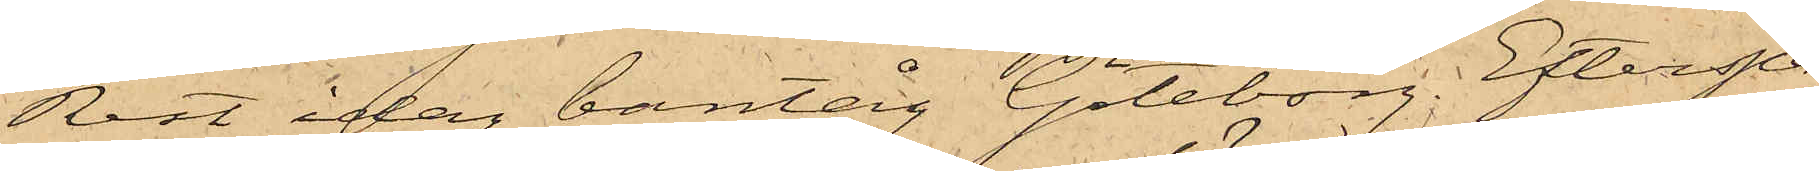Rest idag bantåg Göteborg. Efterspa¬
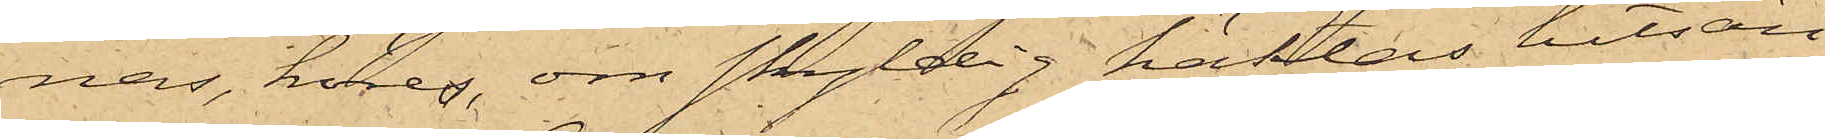nas, höres, om skyldig häktas hitsän¬
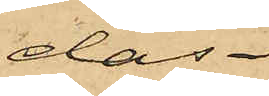das.
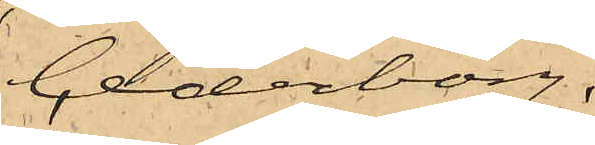Cederborg."
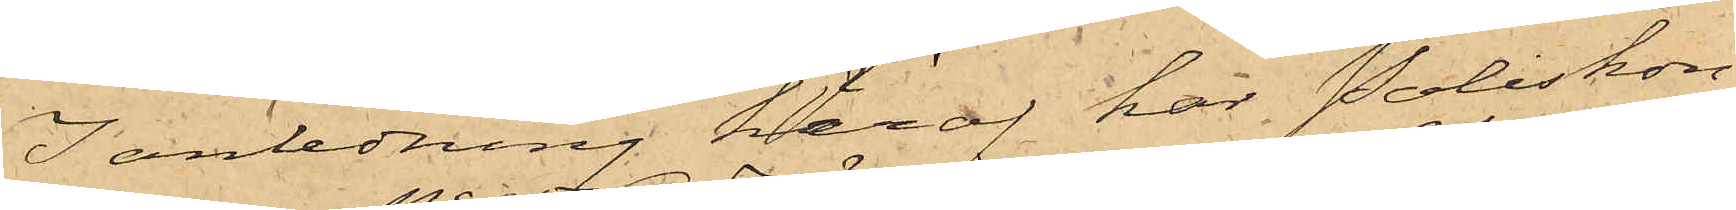I anledning häraf har Poliskon¬
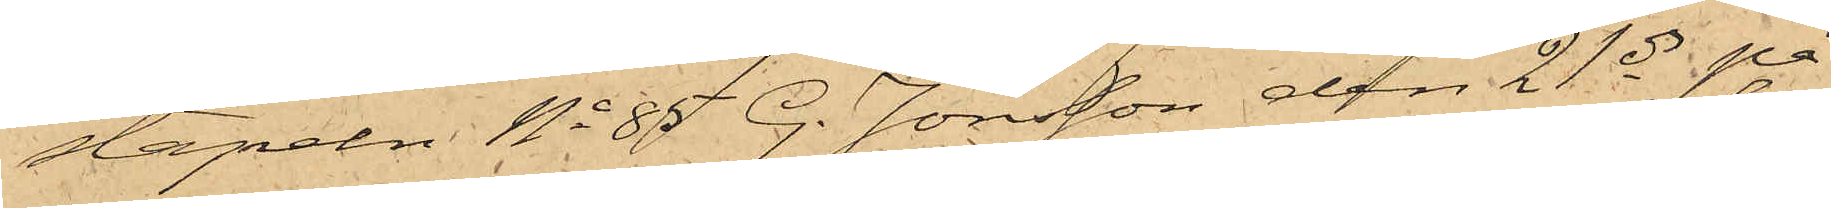stapeln No 85 G. Jönsson den 21 ds på
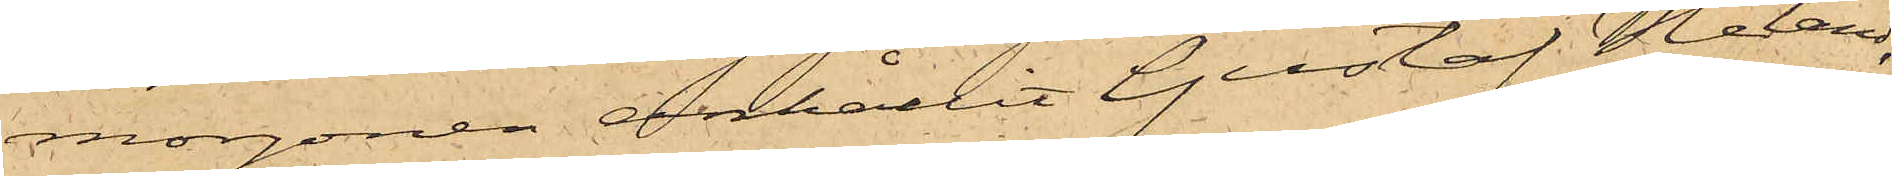morgonen anhållit Gustaf Heland,
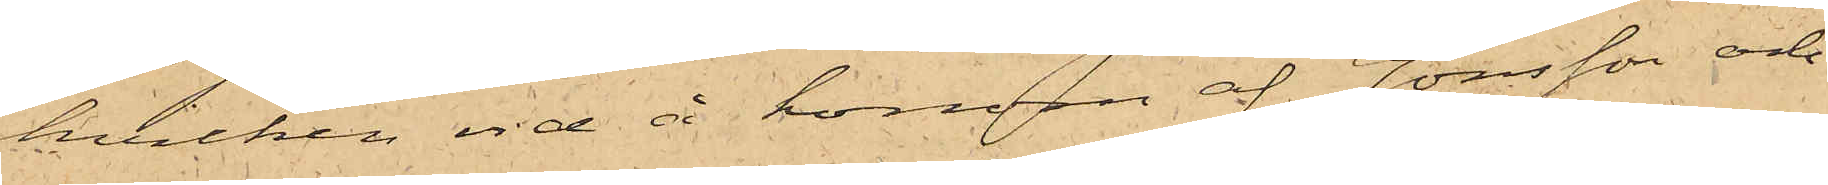hvilken vid å honom af Jönsson och
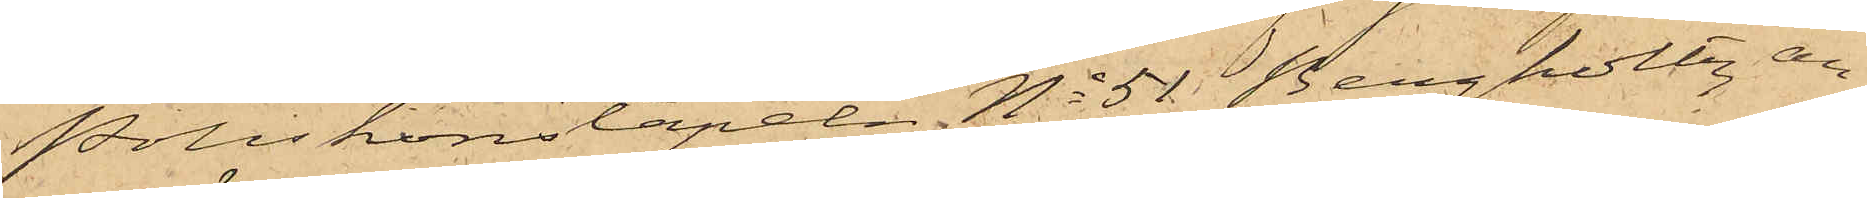Poliskonstapeln No 51 Bergholtz, an¬
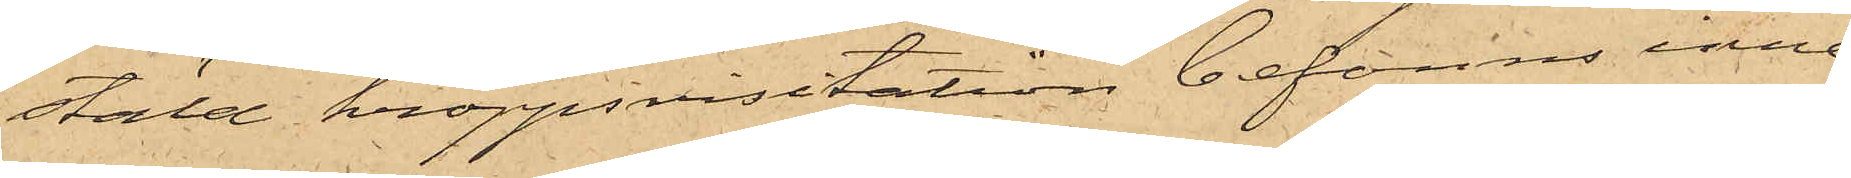stäld kroppsvisitation befanns inne¬
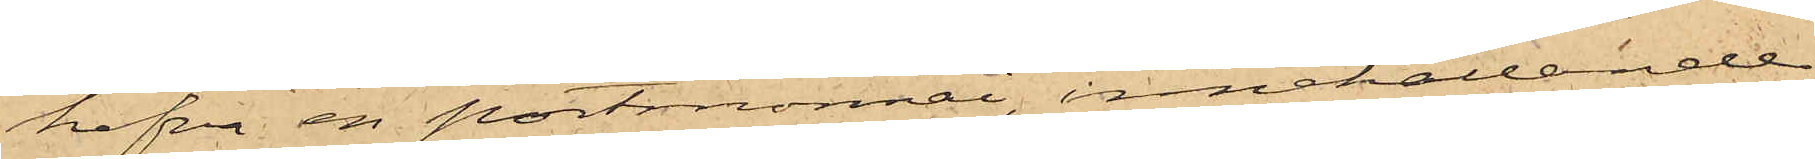hafva en portmonnai, innehållande
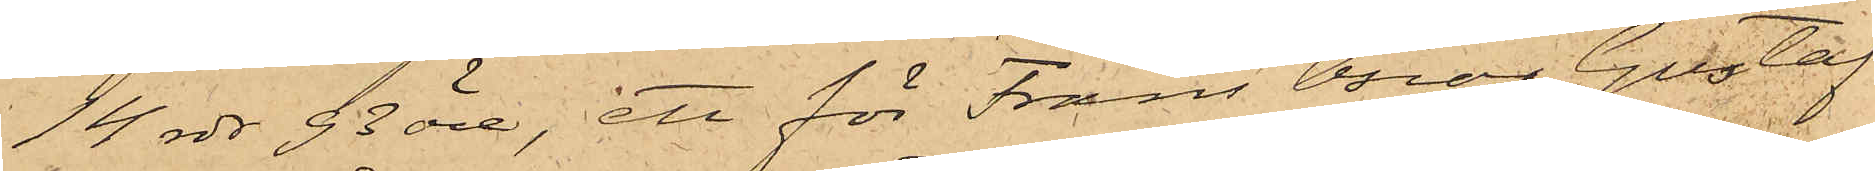14 rdr 93 öre, ett för Frans Oscar Gustaf
